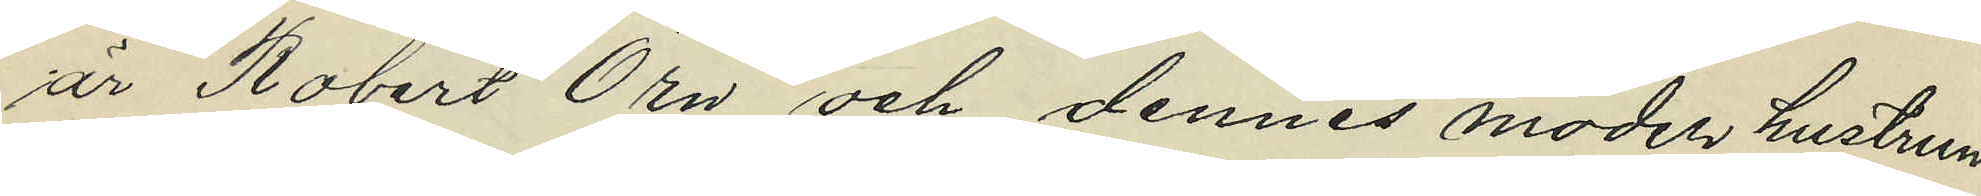är Robert Örn och dennes moder hustrun
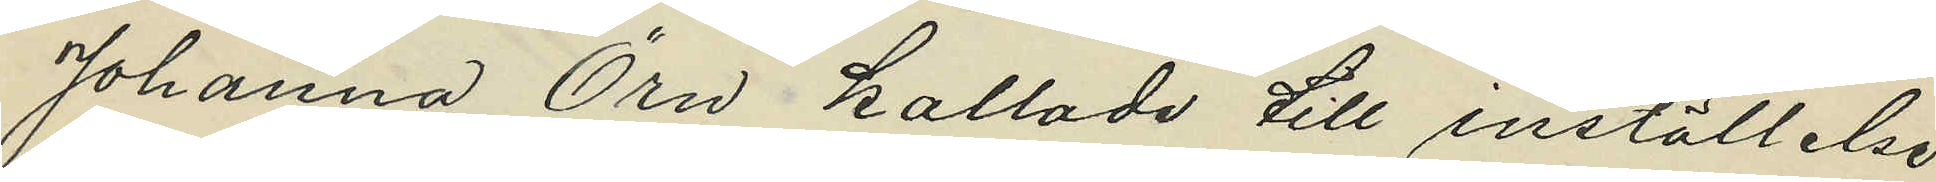Johanna Örn kallade till inställelse
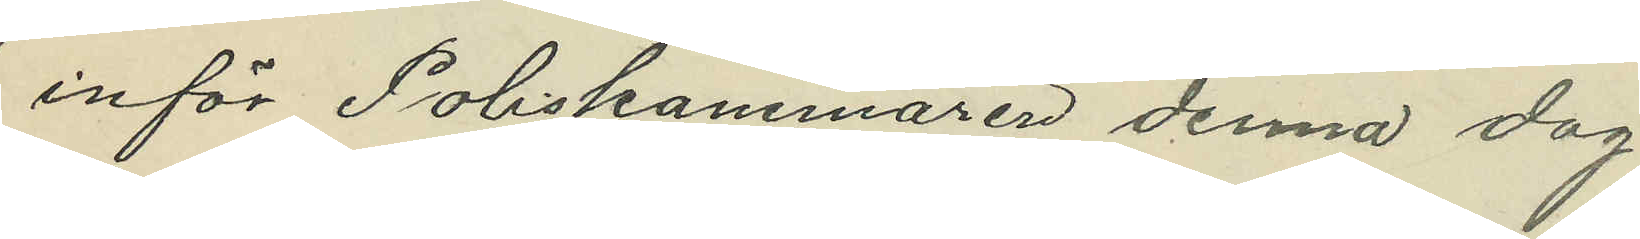inför Poliskammaren denna dag.
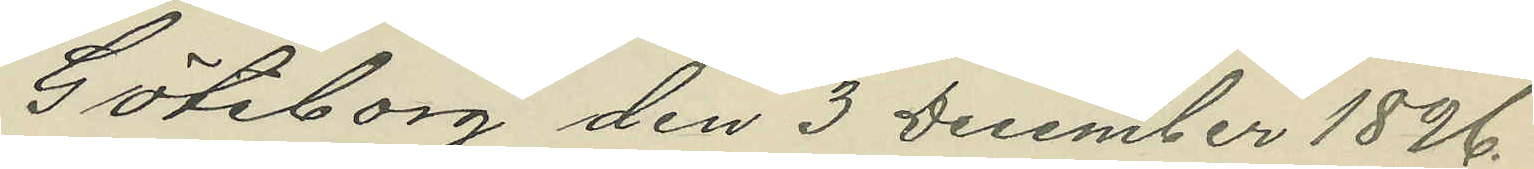Göteborg den 3 December 1896.
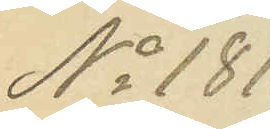No 181.
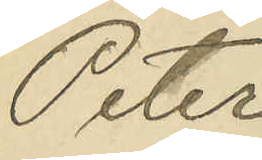Peter
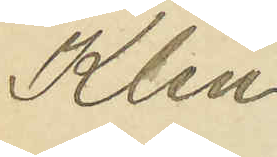Klen¬
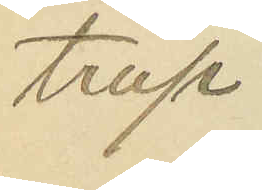trup.
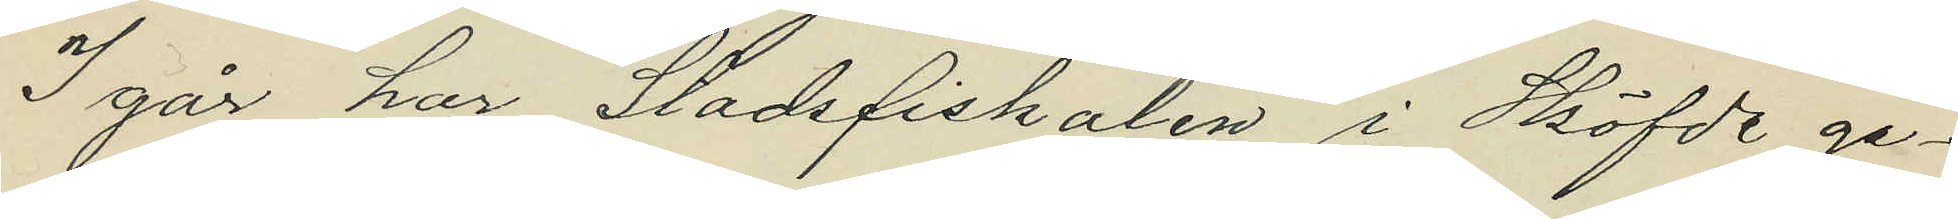I går har Stadsfiskalen i Sköfde ge¬
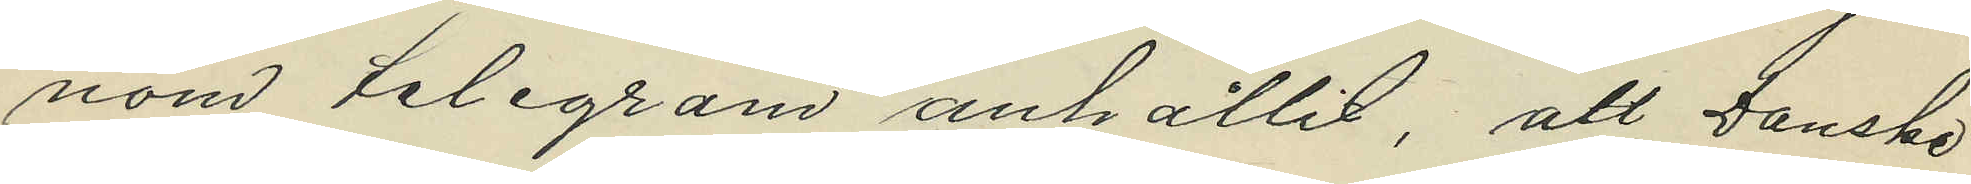nom telegram anhållit, att Danske
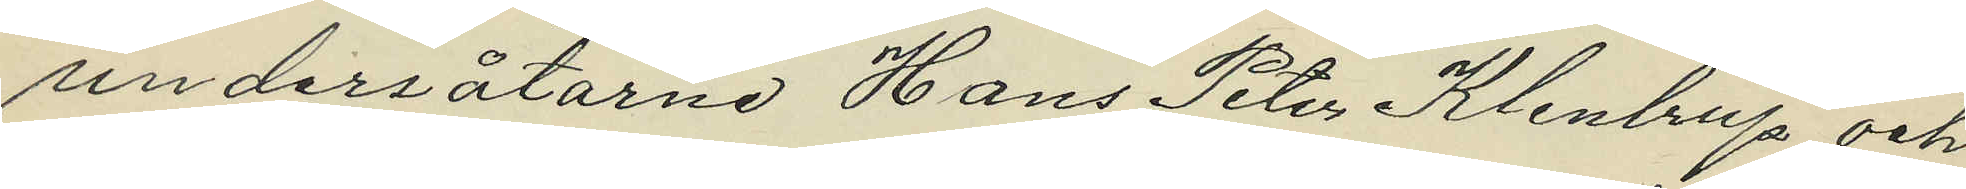undersåtarne Hans Peter Klenlrup och
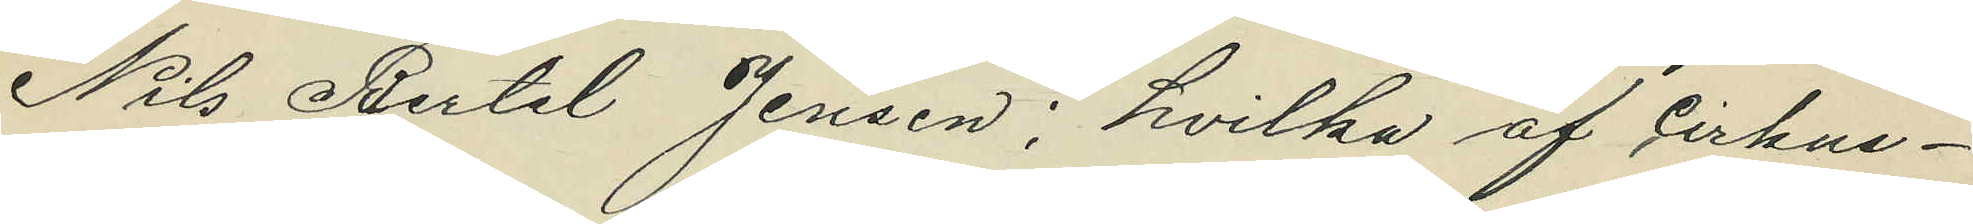Nils Bertel Jensen; hvilka af cirkus¬
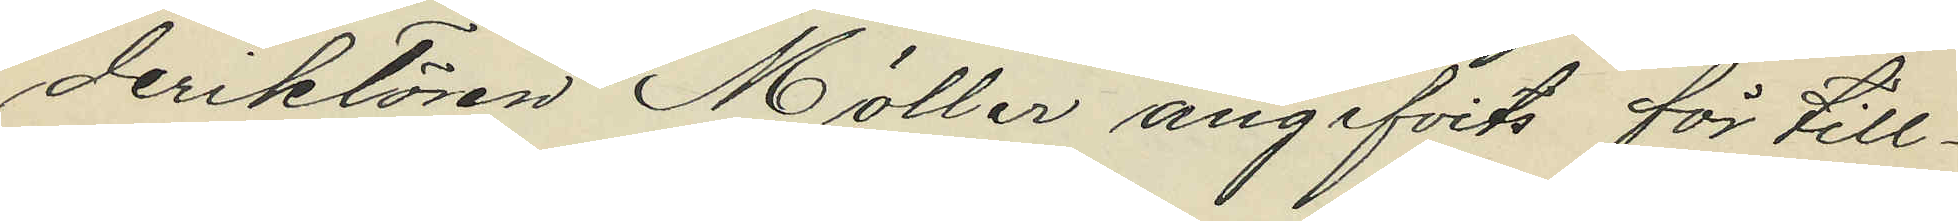deriktören Möller angifvits för till¬
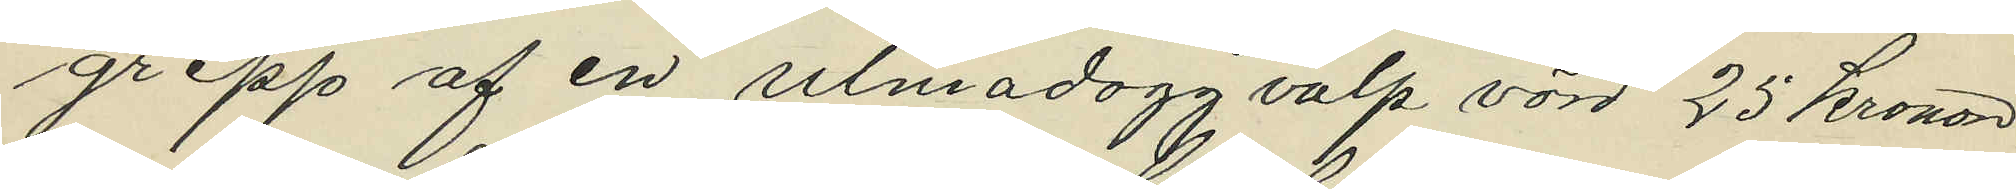grepp af en ulmadogg valp värd 25 kronor
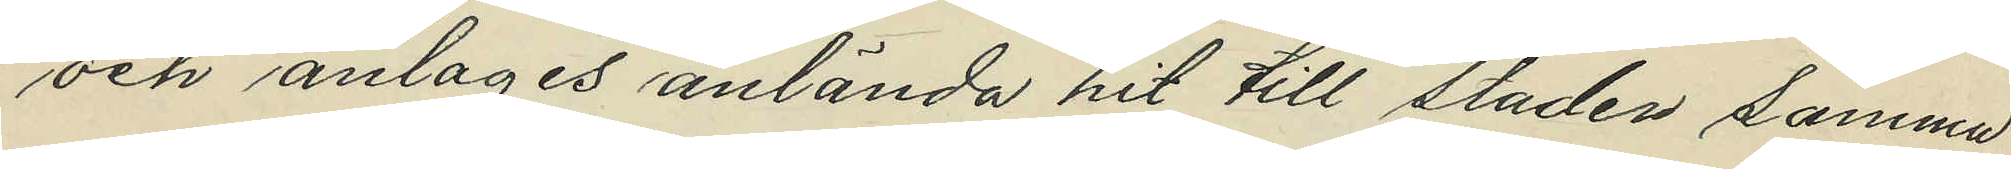och anlages anlända hit till staden samma
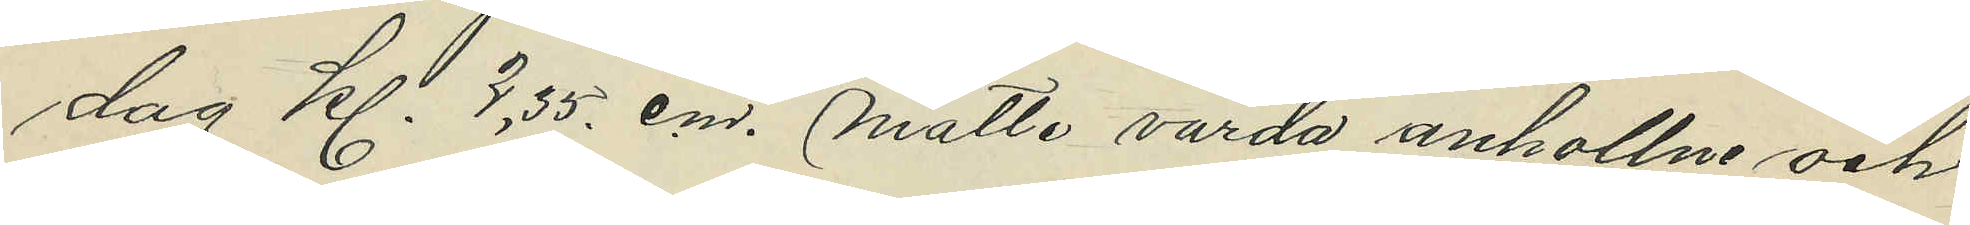dag kl. 3,35. e.m. måtte varda anhollne och
